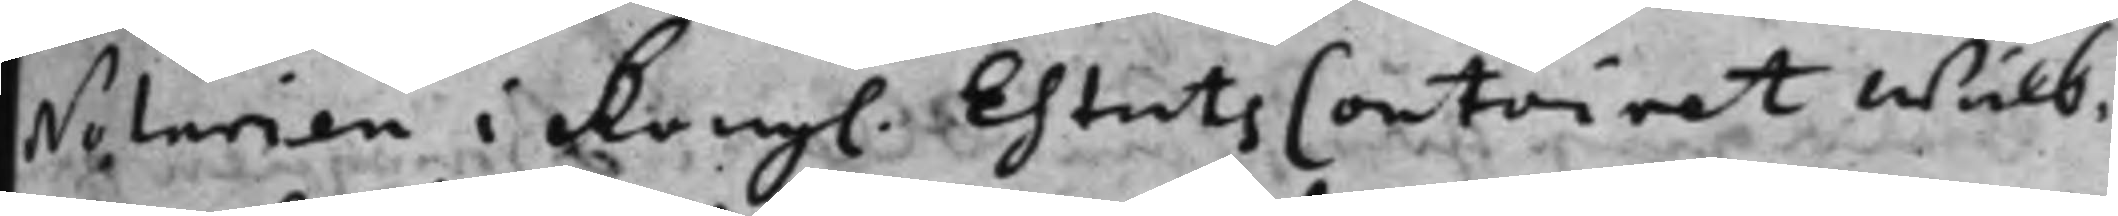Notarien i kongl. EhtatsContoiret wälb.
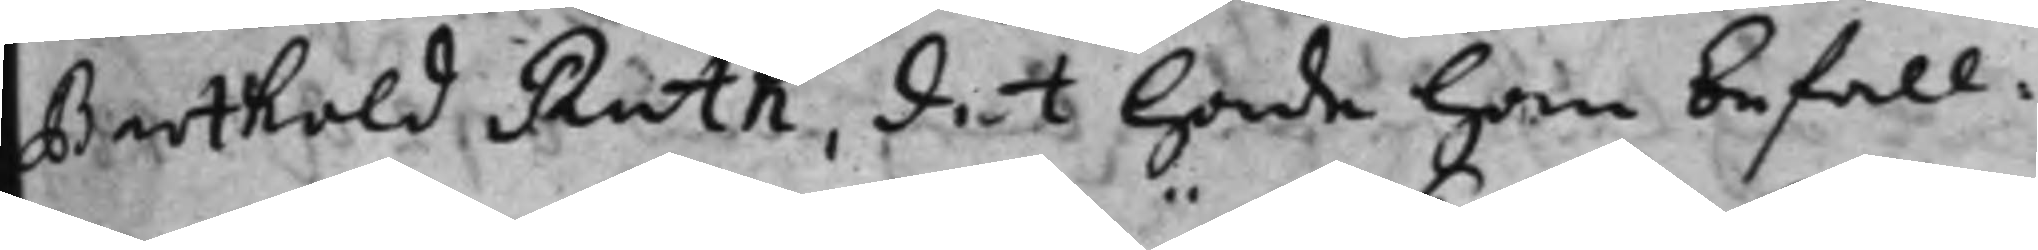Berthold Ruth, det hade han befall¬
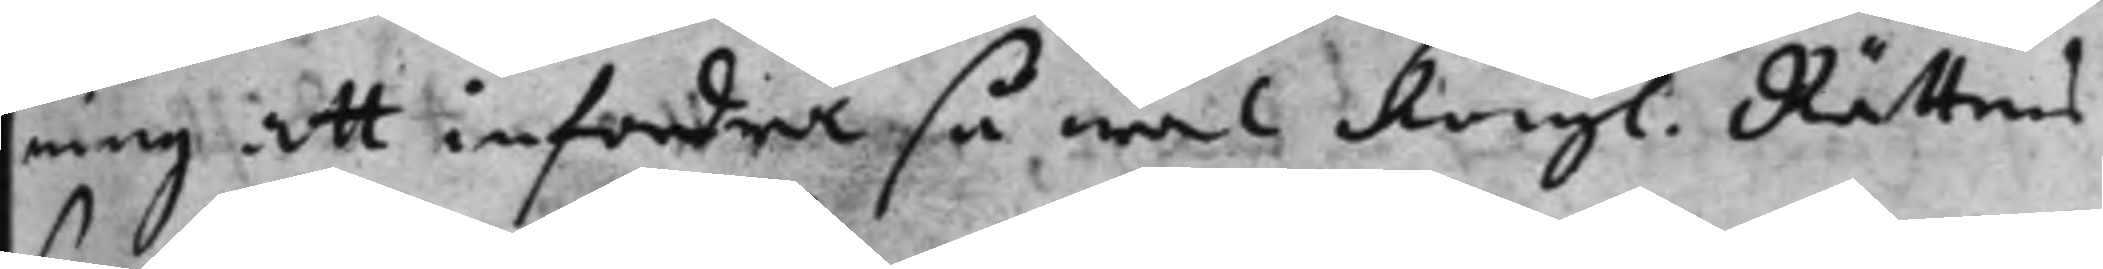ning att infordra så wäl Kongl. Rättens
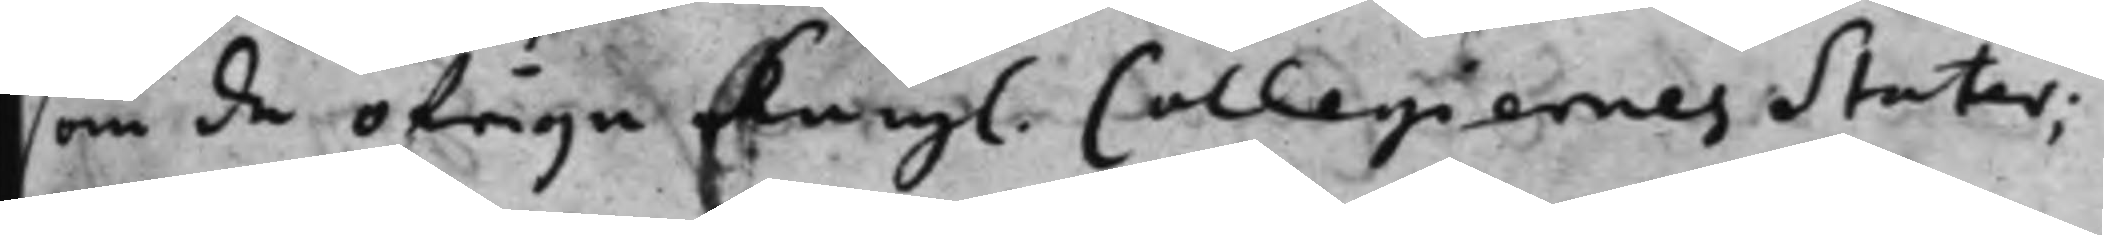som de öfrige Kongl. Collegiernes Stater;
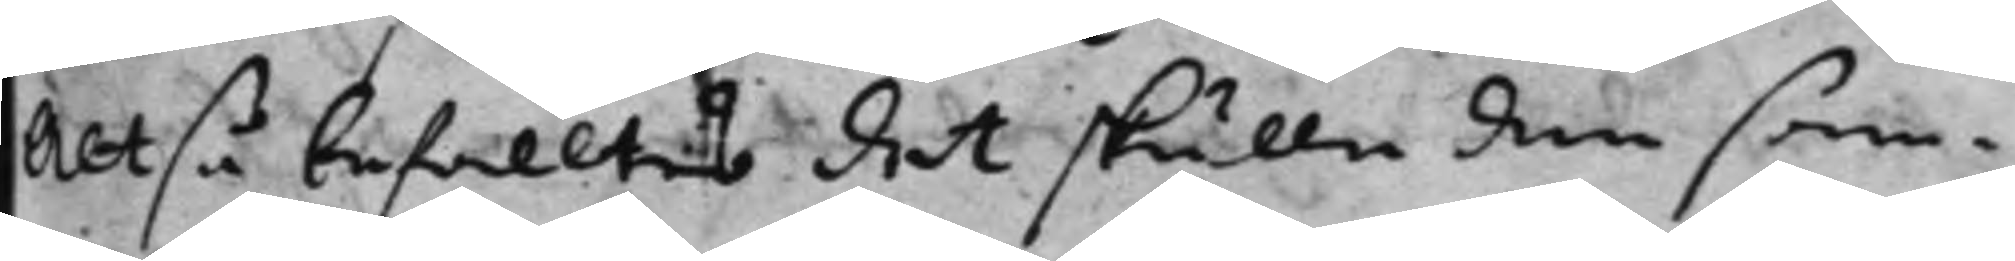Altså befalltes det skulle den sam¬
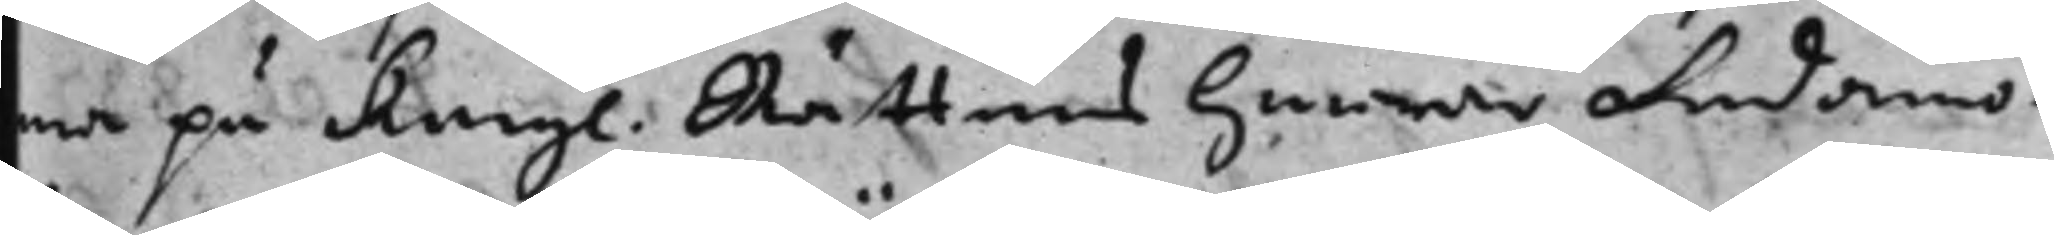ma på Kongl. Rättens herrar Ledamö¬
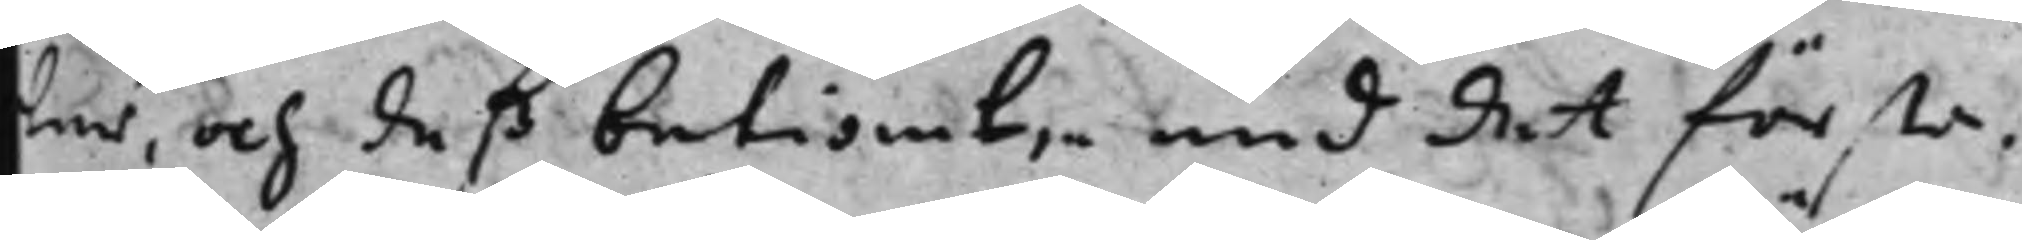ter, och deß betiänt, med det förste
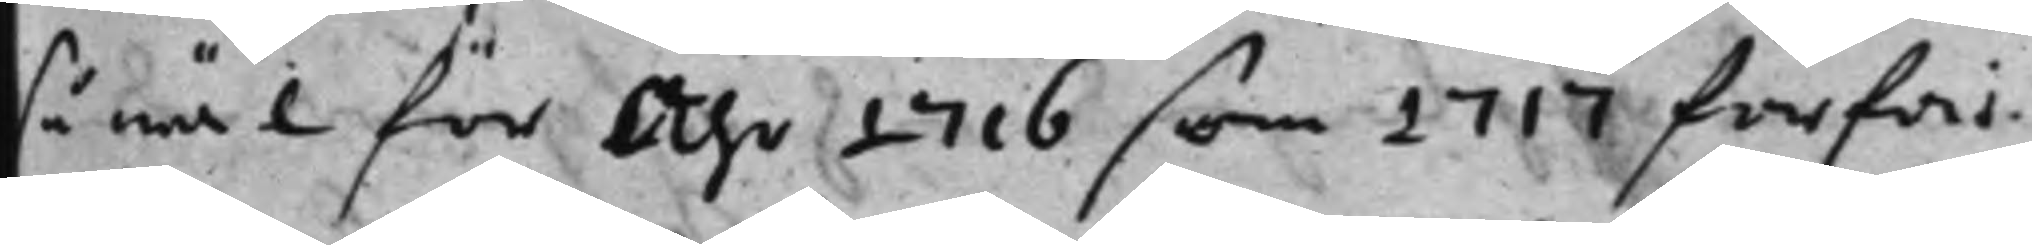så wäl för Åhr 1716 som 1717 förfär¬
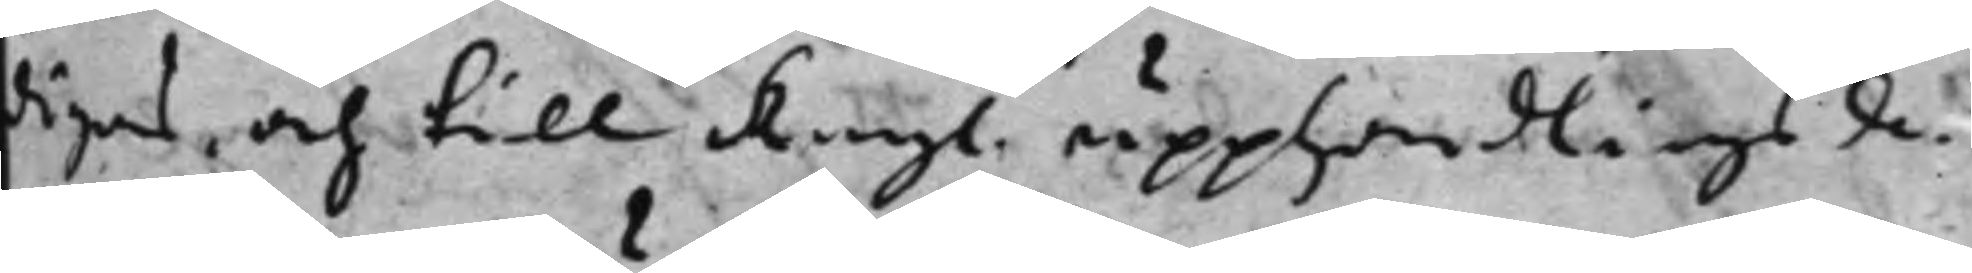digas, och till Kongl. upphandlingsde¬
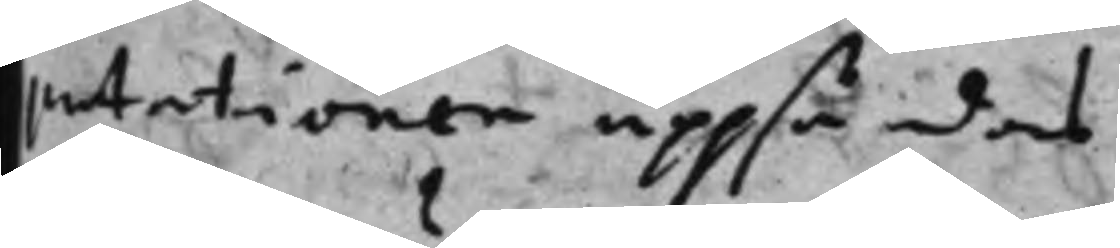putationen uppsändas
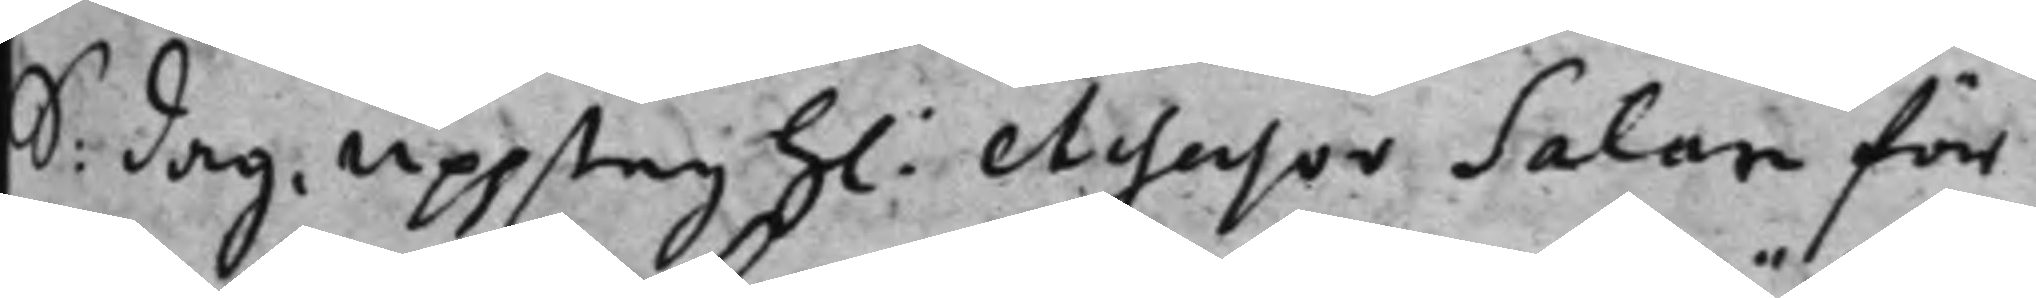S: dag upptog h.: Assessor Salan för
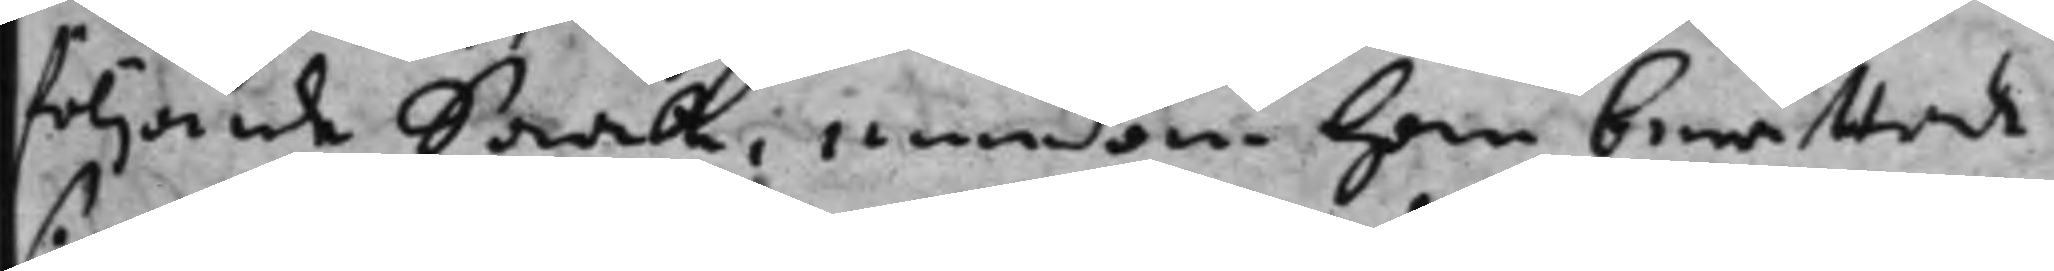följande Saak, emedan han berättade
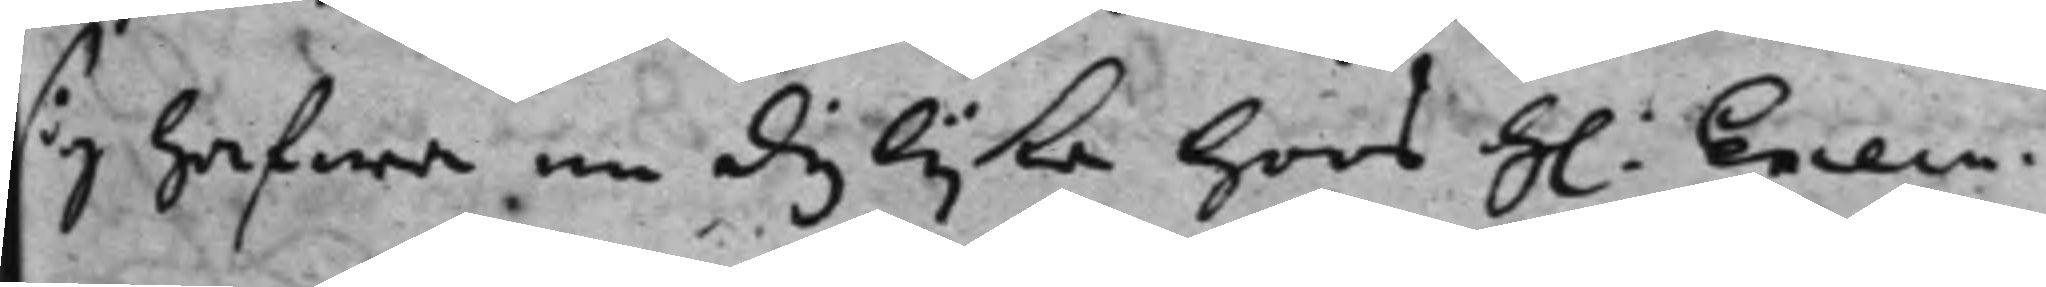sig hafwa en dylijka hoos h.: Execu¬
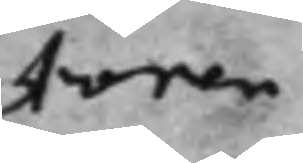toren
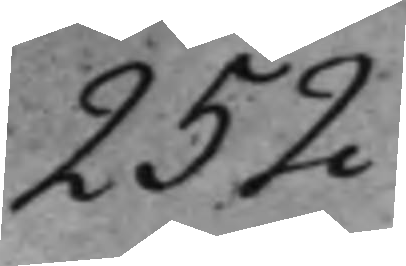252
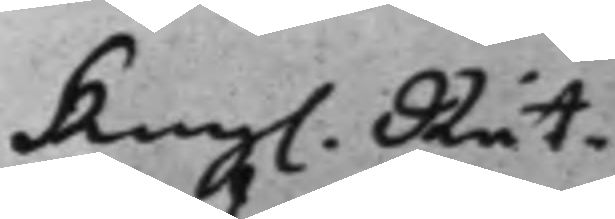kongl. Rät¬
